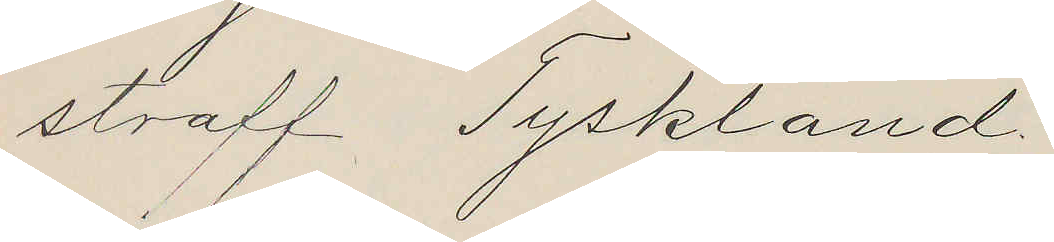straff Tyskland.
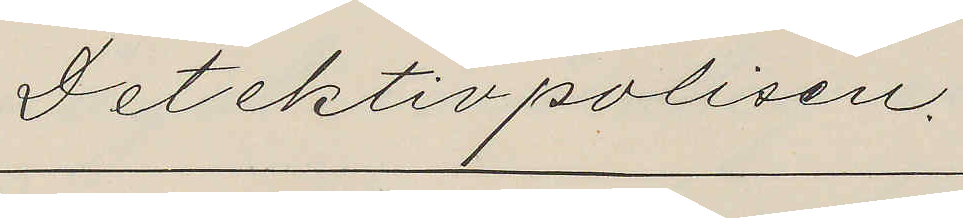Detektivpolisen.
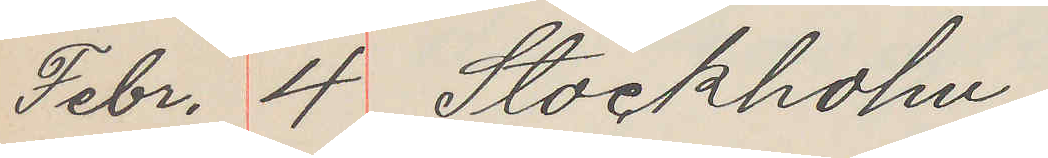Febr. 4 Stockholm
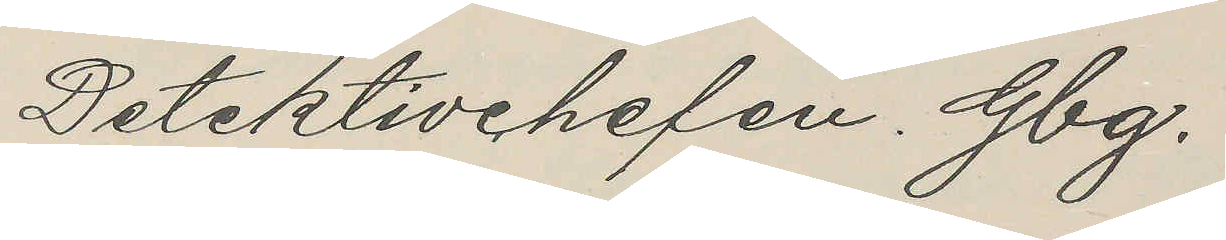Detektivchefen. Gbg.
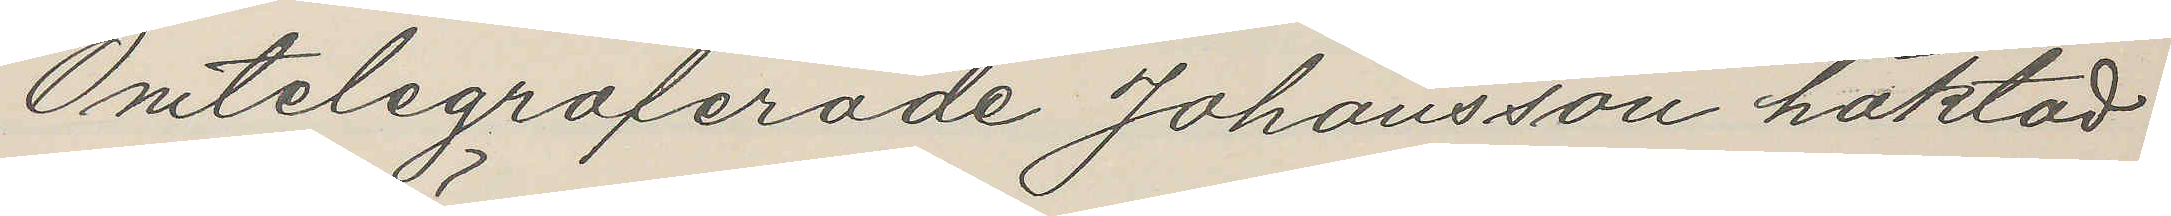Omtelegraferade Johansson häktad
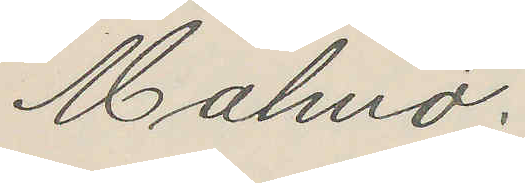Malmö.
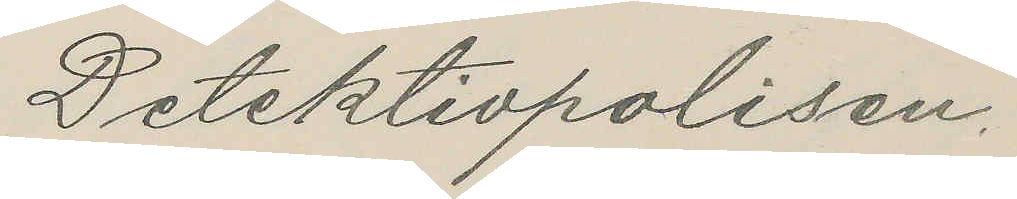Detektivpolisen.
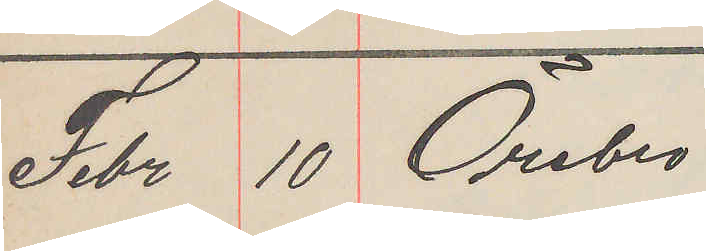Febr 10 Örebro
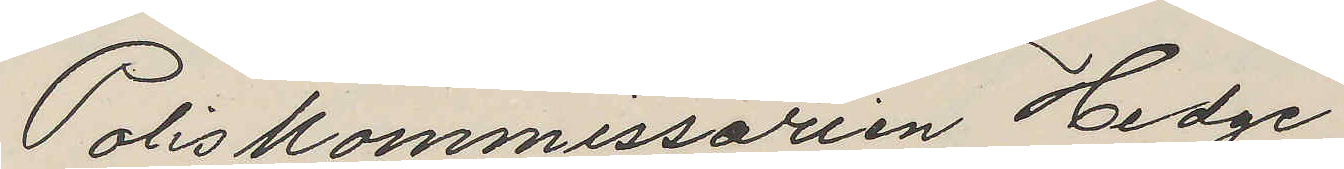Poliskommissarien Hedge
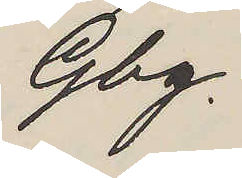Gbg.
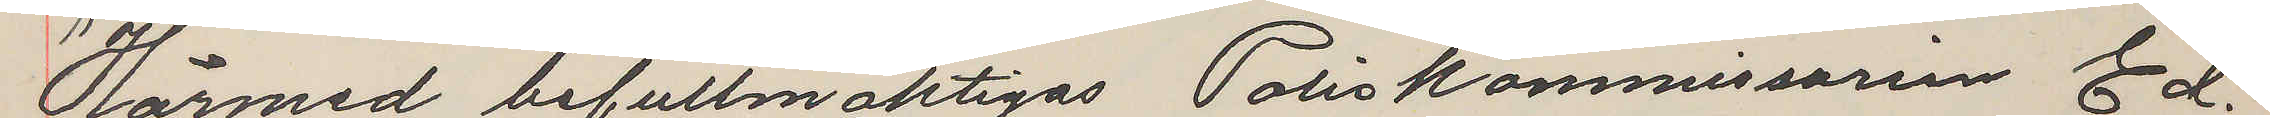Härmed befullmäktigas Poliskommissarien Ed.
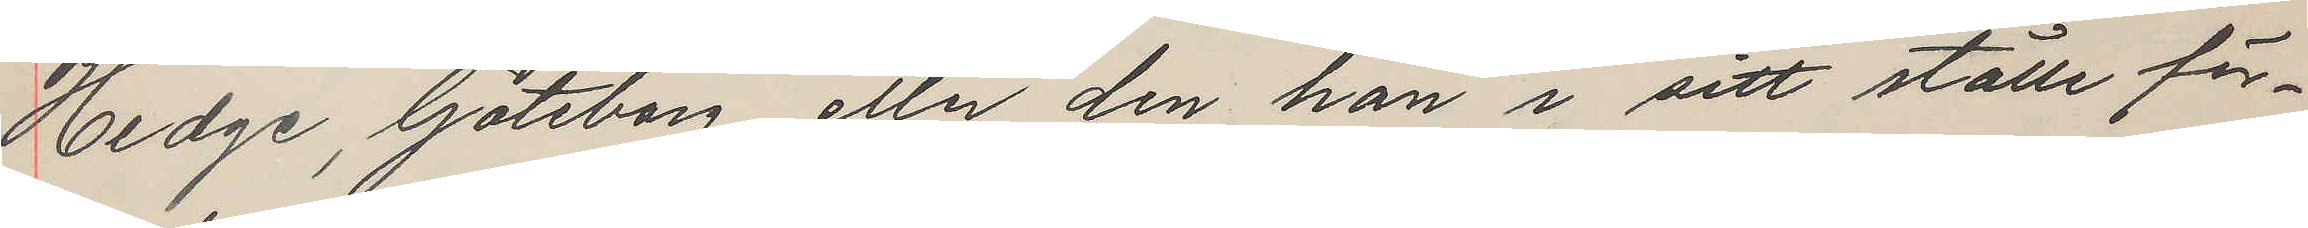Hedge, Göteborg, eller den han i sitt ställe för¬
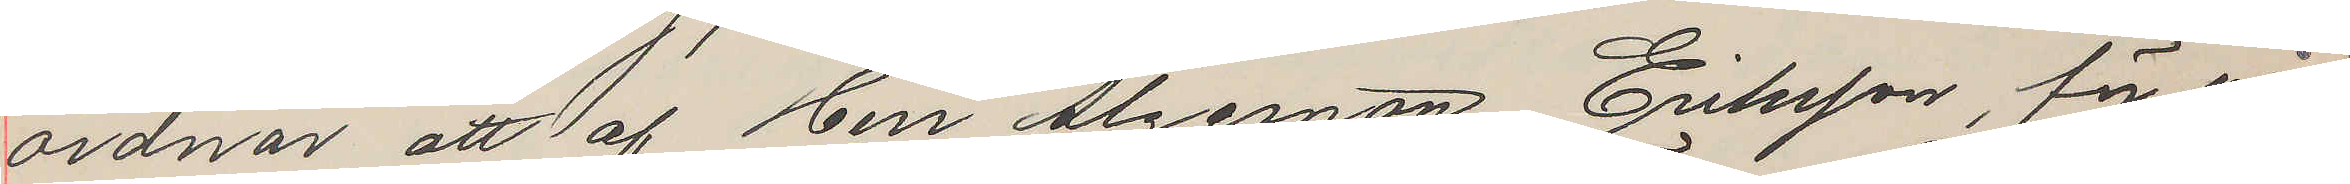ordnar, att af Herr Algernon Eriksson, för vår
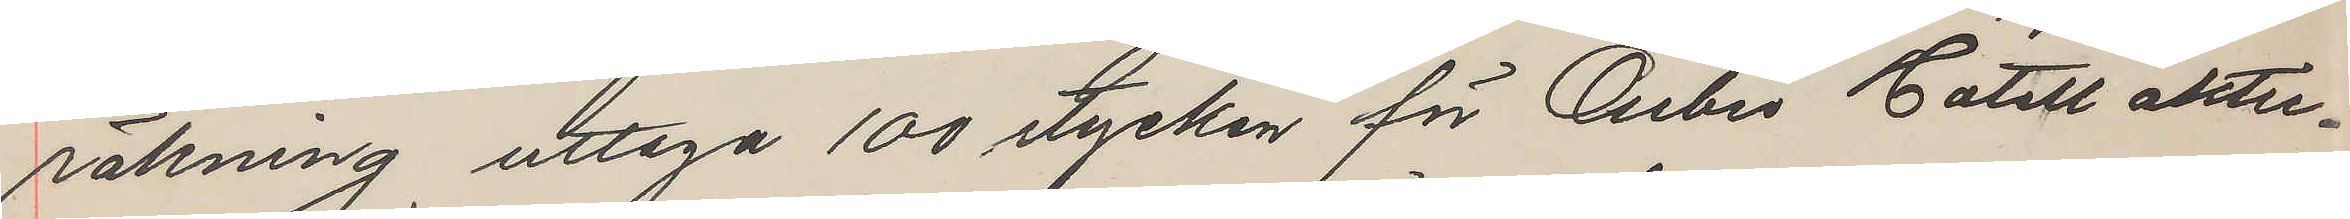räkning uttaga 100 stycken för Örebro Hotell aktie¬
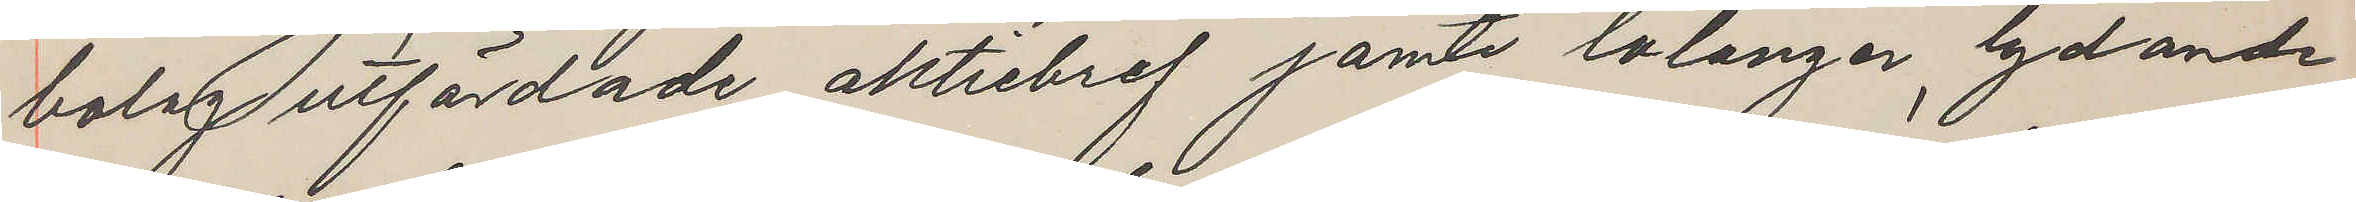bolag utfärdade aktiebref jämte talonger, lydande
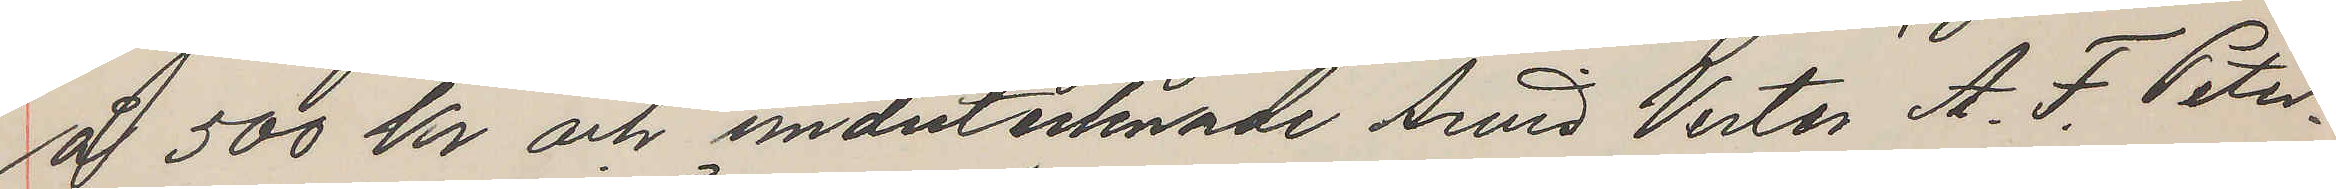å 500 kr och underteknade Arvid Vester, A. F. Peter¬
